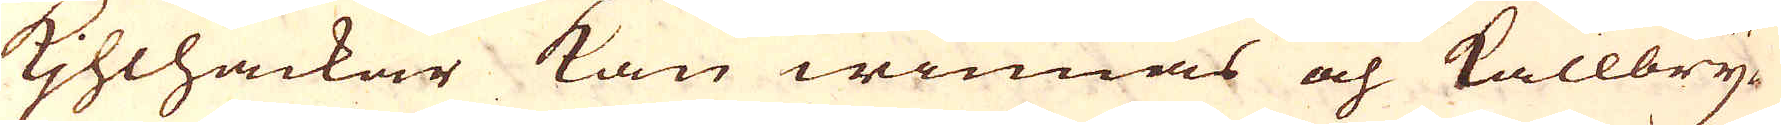Kihlhackar kan winnas och kallbry-
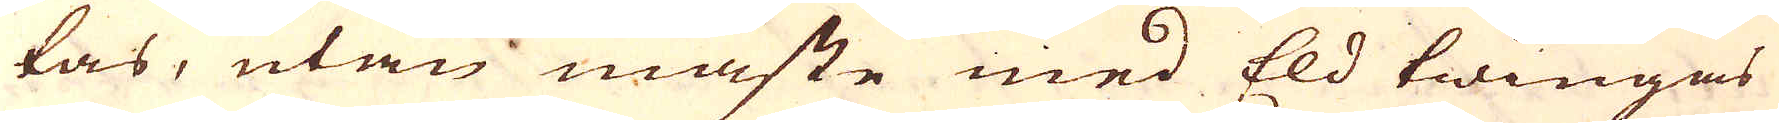tas, utan måste med Eld twingas
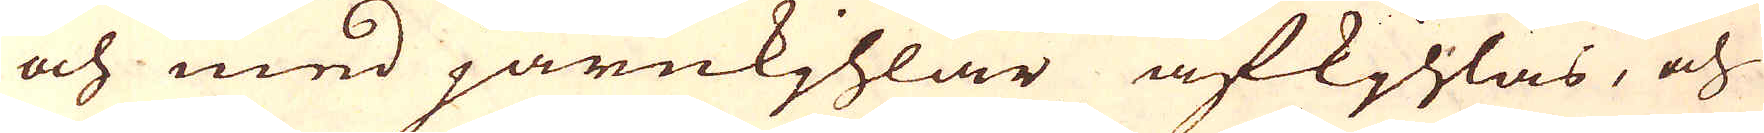och med järnkjhlar afkjhlas, och
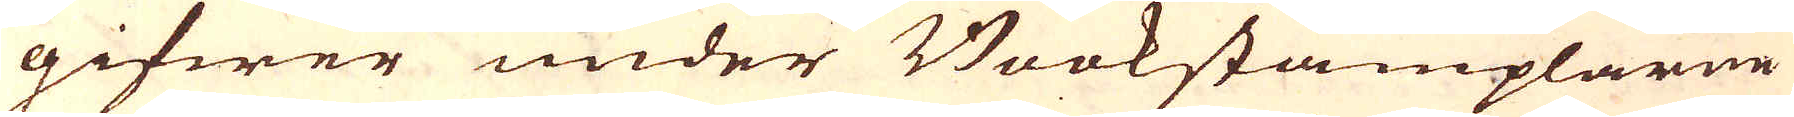gifwer under Bookstämplarne
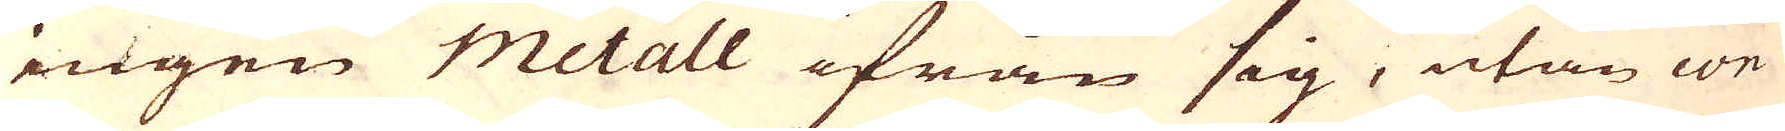ingen Metall ifrån sig, utan con-
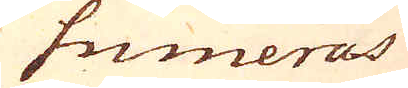sumeras
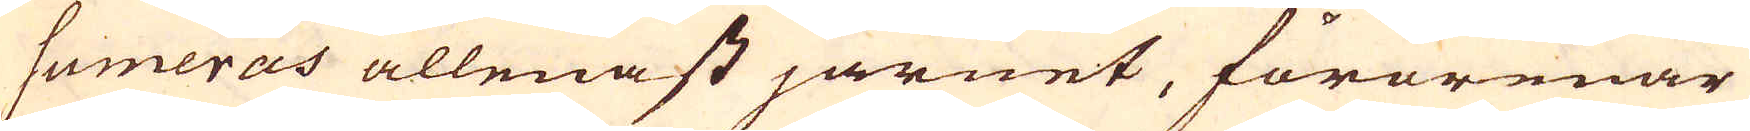sumeras allenast järnet, förorenar
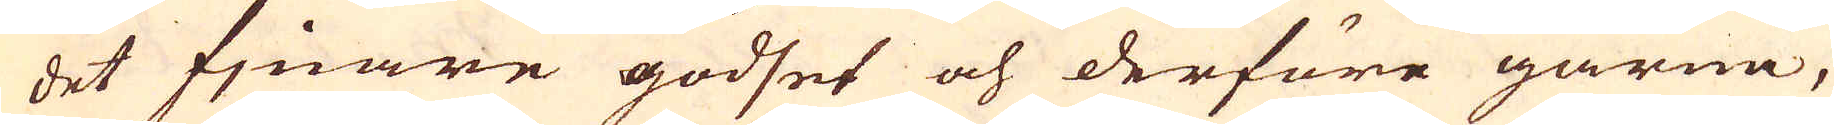det fjnare godset och derföre gärna,
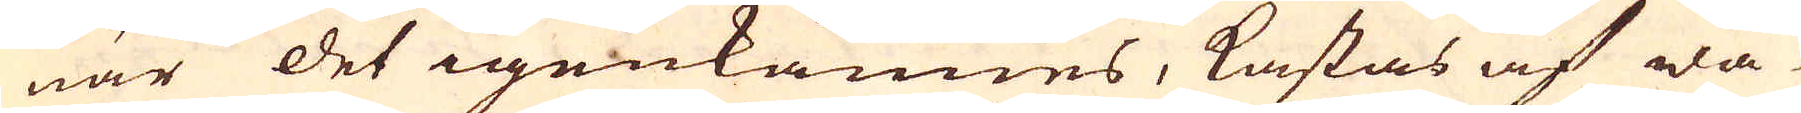när det igenkännes, kastas af dä-
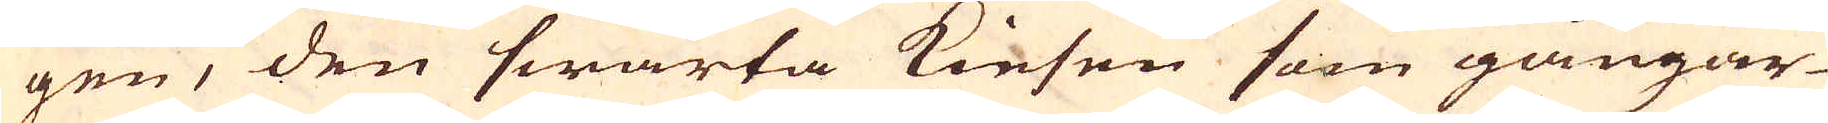gen, den swarta Kiesen som gångar-
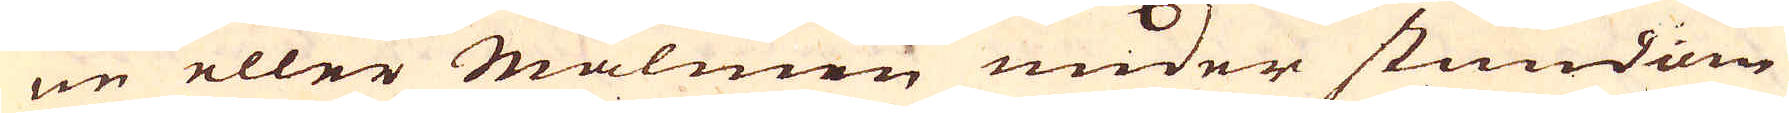ne eller Malmen under stundom
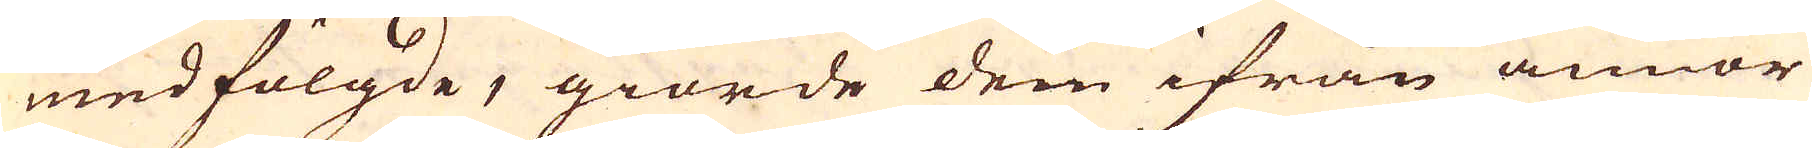medfölgde, giorde dem ifrån annor
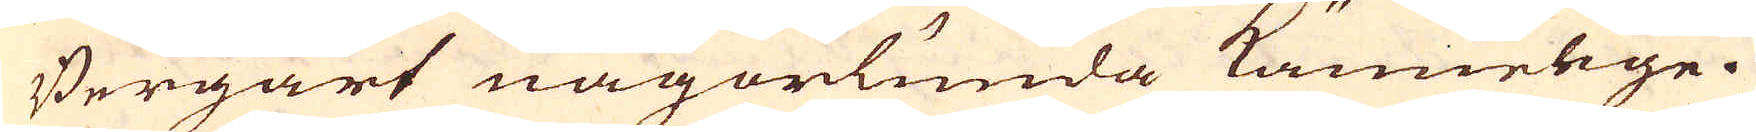Bergart någorlunda kännelige.
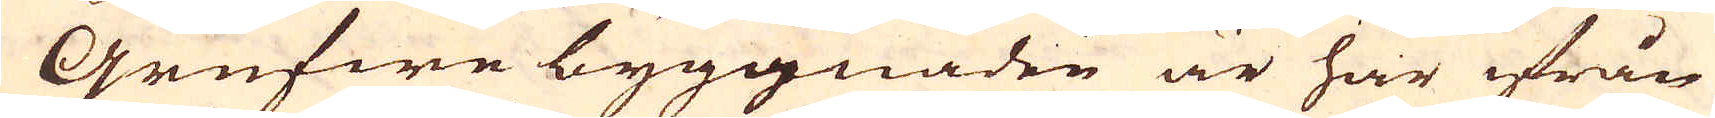Grufwe byggnaden är här ifrån
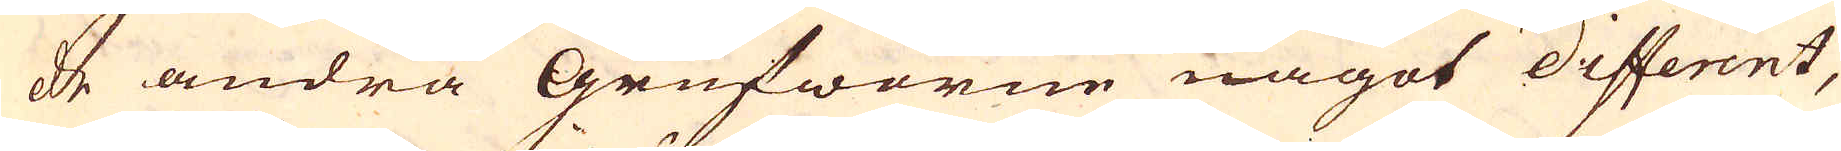de andra Grufworne något different,
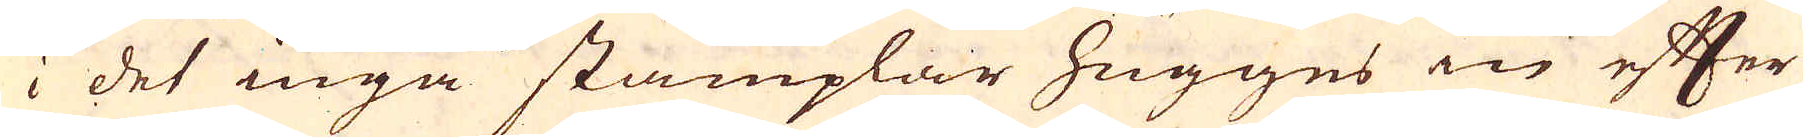i det inga stämplar hugges in efter
